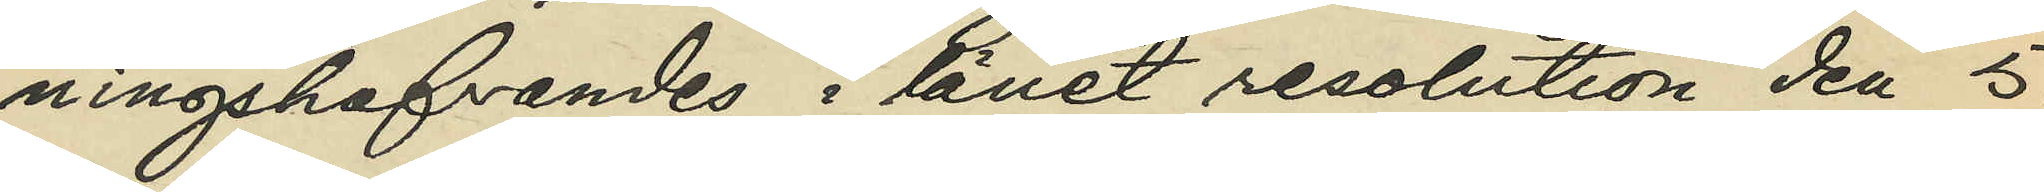ningshafvandes i länet resolution den 5.
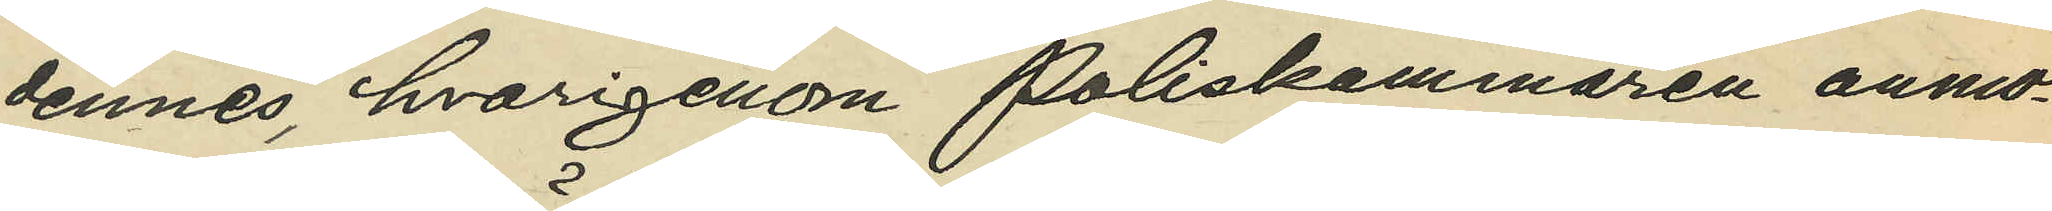dennes, hvarigenom Poliskammaren anmo¬
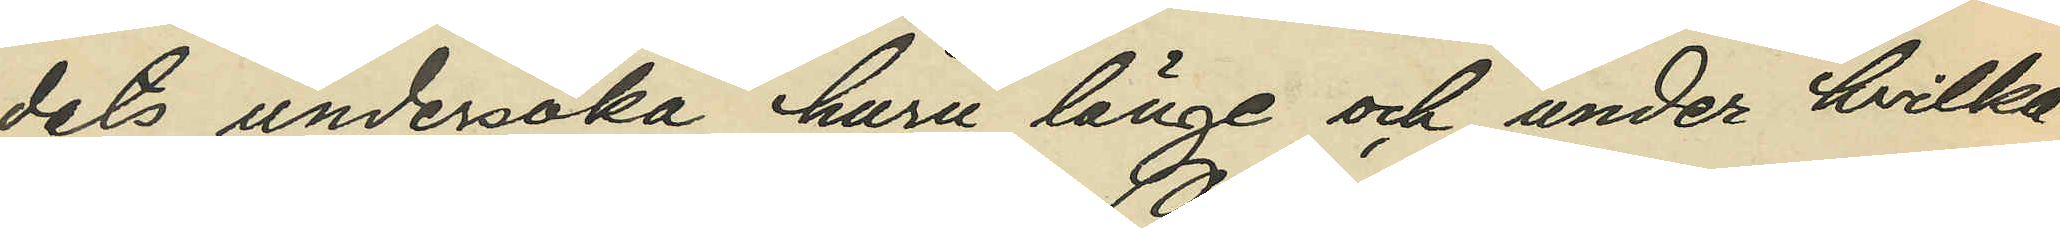dats undersöka huru länge och under hvilka
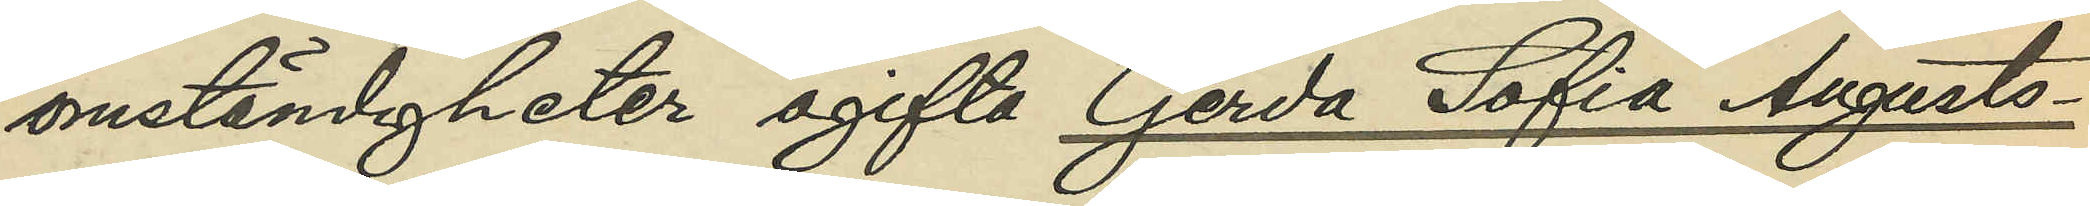omständigheter ogifta Gerda Sofia Augusts¬
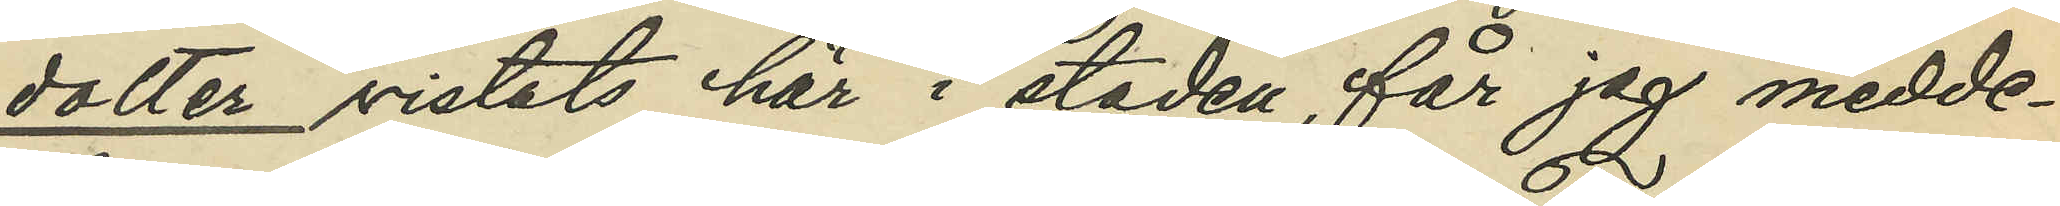dotter vistats här i staden, får jag medde¬
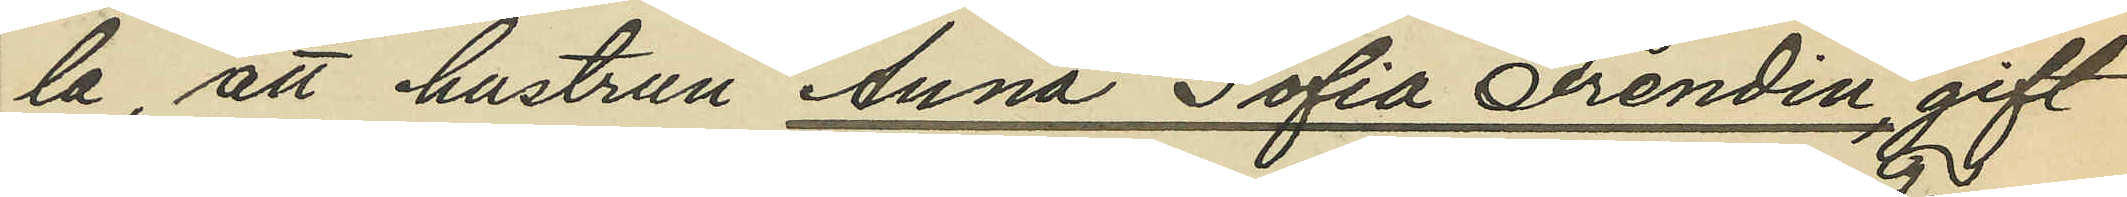la, att hustrun Anna Sofia Frendin, gift
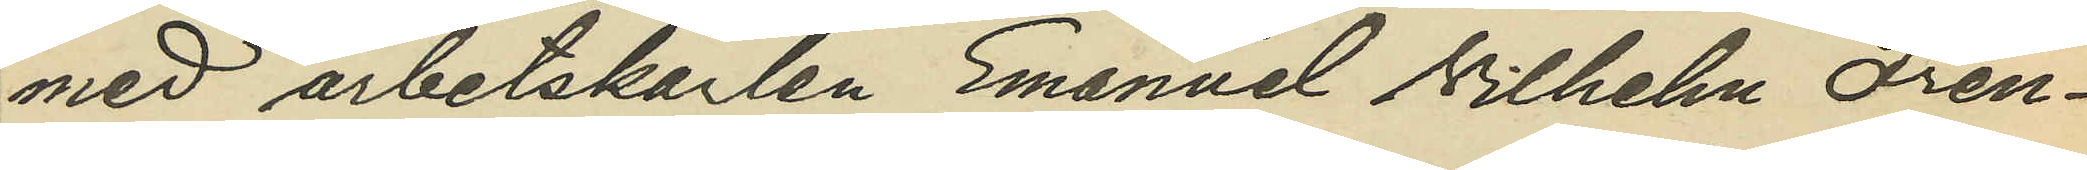med arbetskarlen Emanuel Vilhelm Fren¬
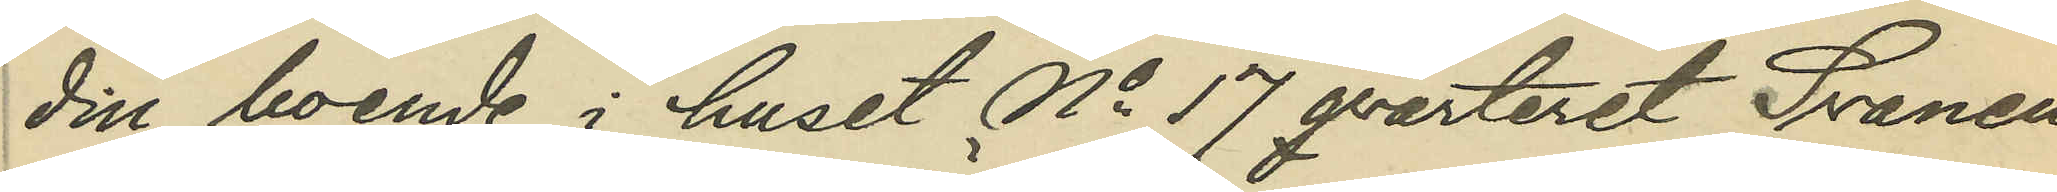din, boende i huset No 17 qvarteret Svanen
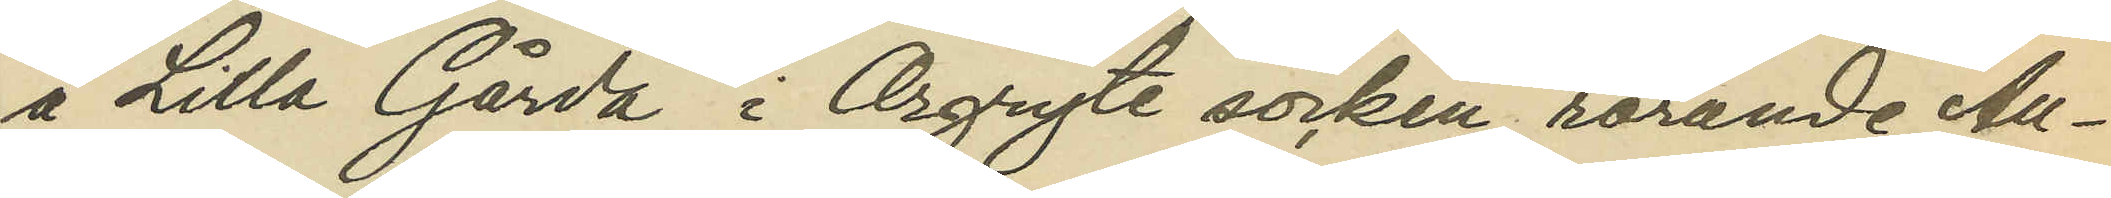å Lilla Gårda i Örgryte socken, rörande Au¬
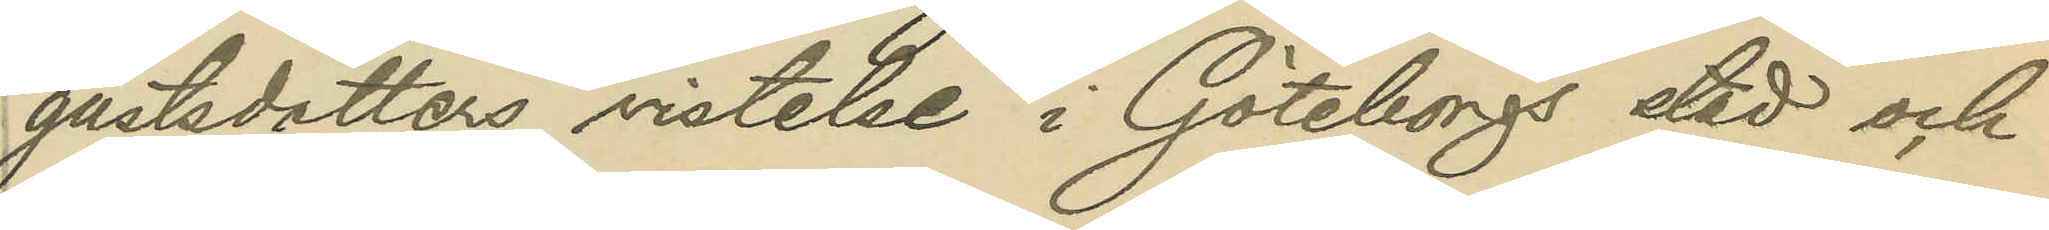gustsdotters vistelse i Göteborgs stad och
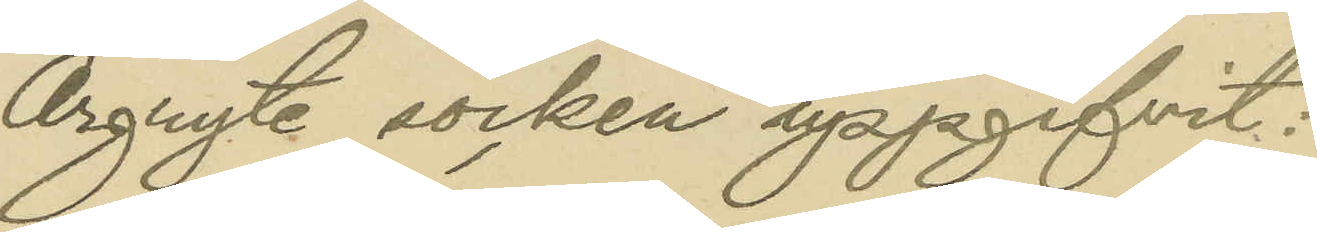Örgryte socken uppgifvit:
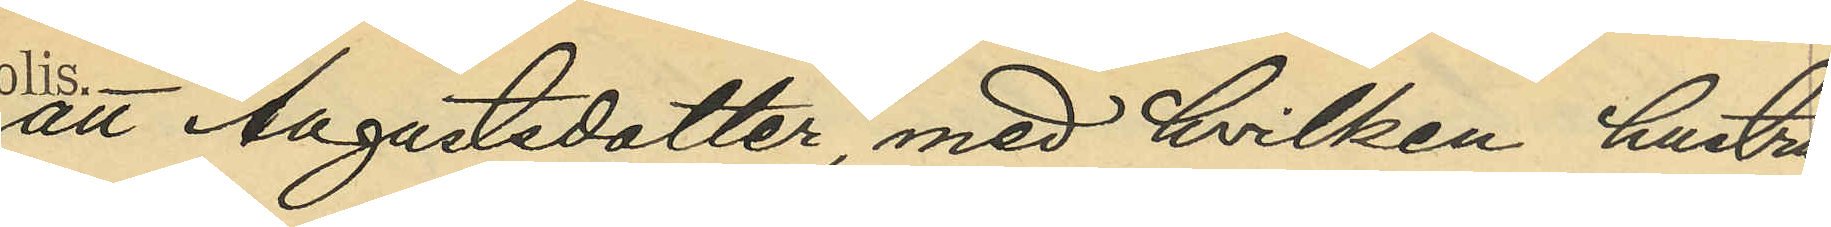att Augustsdotter, med hvilken hustru
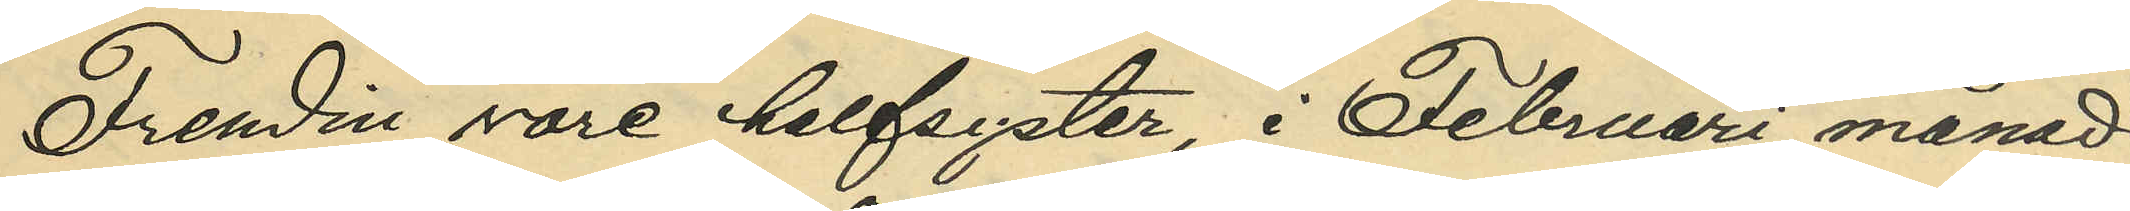Fredin vore halfsyster, i Februari månad
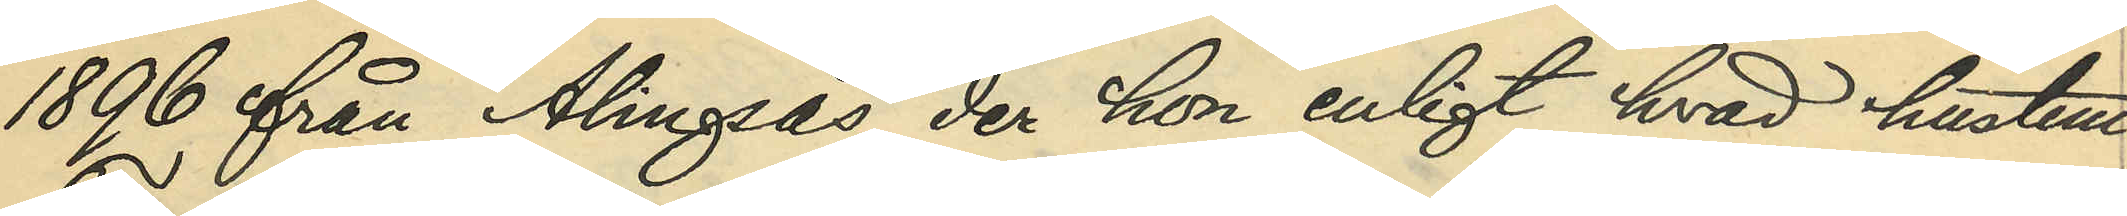1896 från Alingsås, der hon enligt hvad hustru
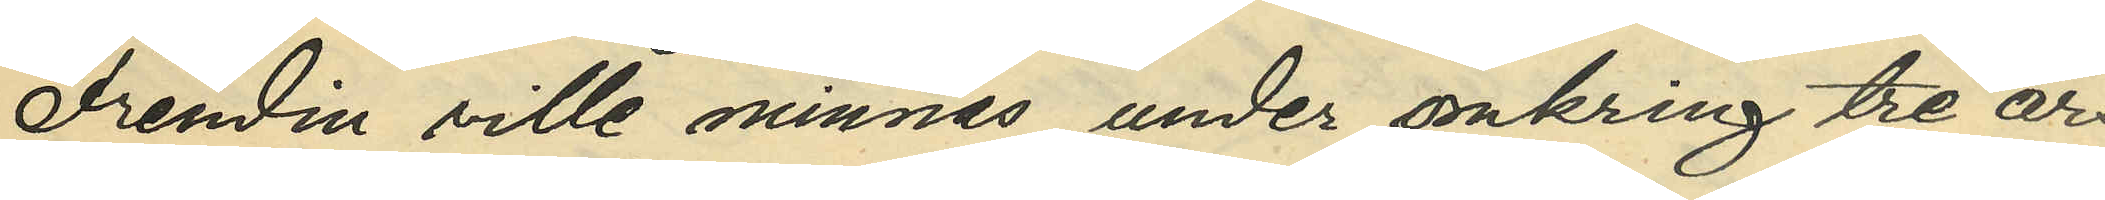Frendin ville minnas under omkring tre års
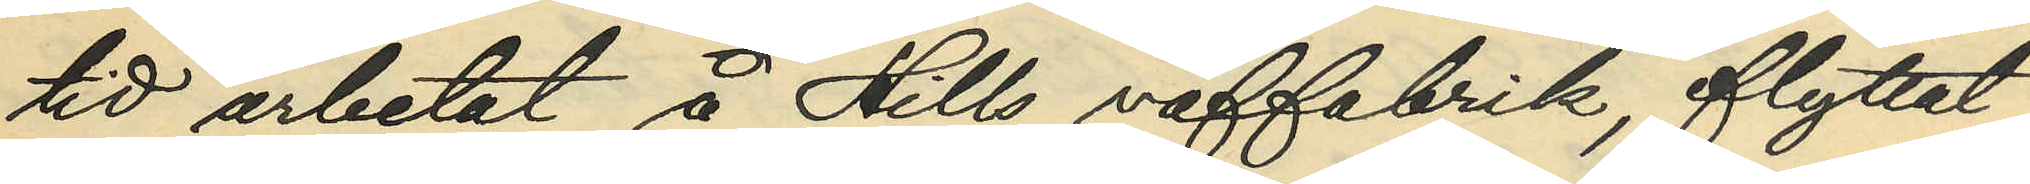tid arbetat å Hills väffabrik, flyttat
